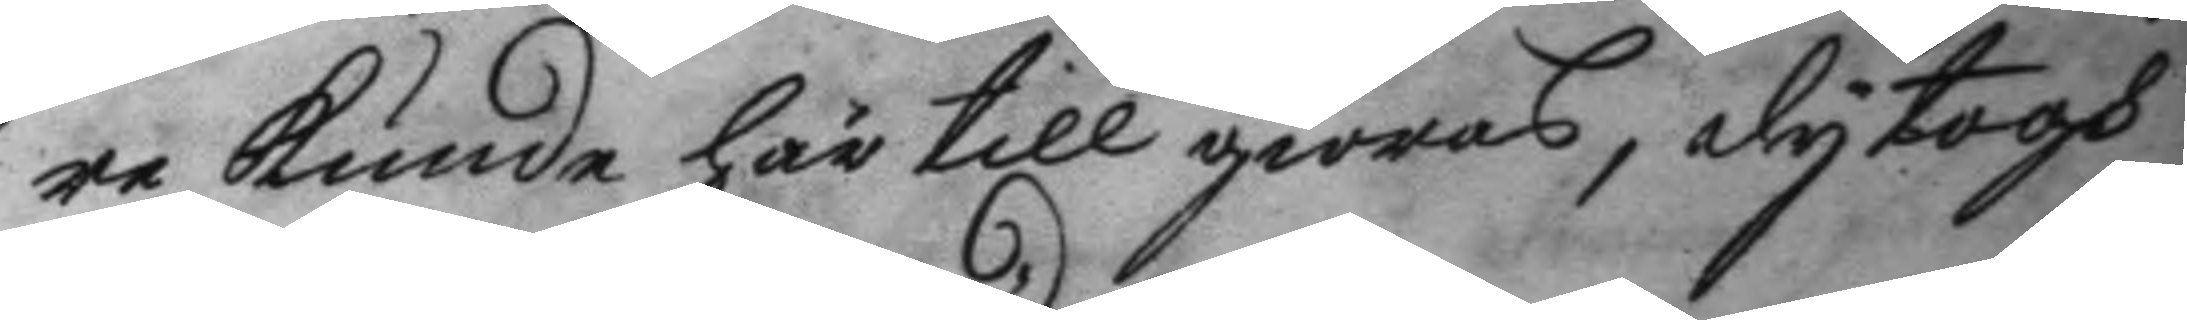re kunde härtill giörasm dy togh
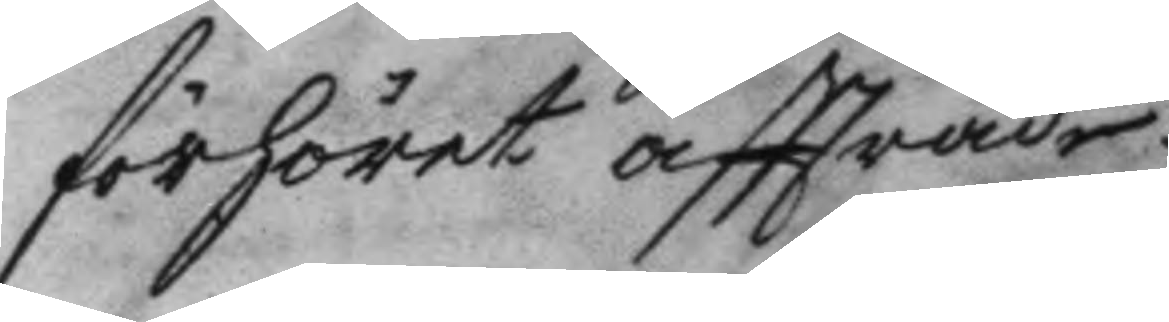förhöret affträde.
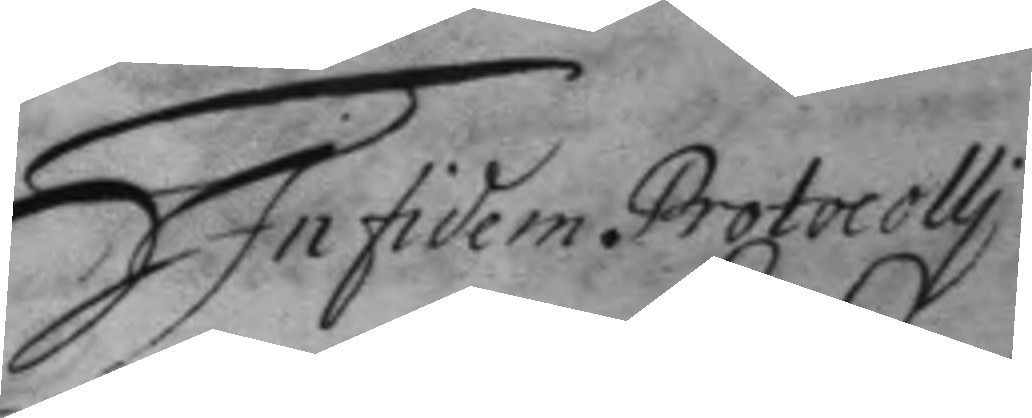In fidem Protocolli
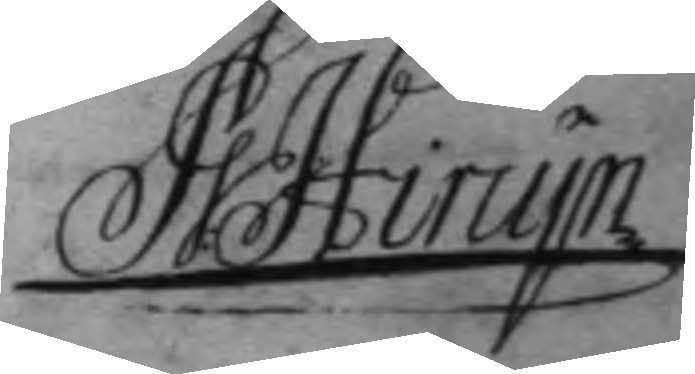JG Hirujn
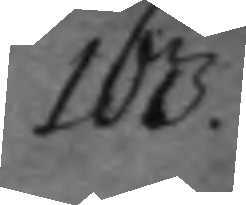163.
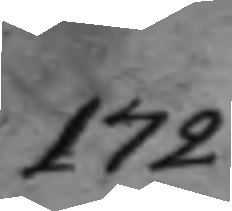172
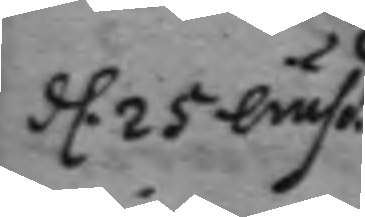d. 25 lufd.
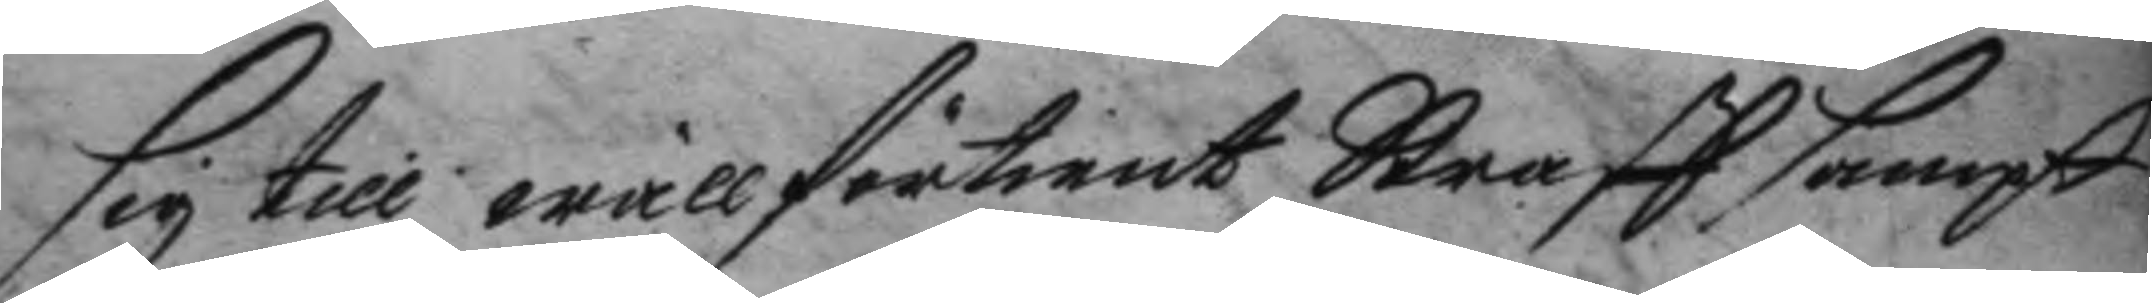sig till wällförtient Straff sampt
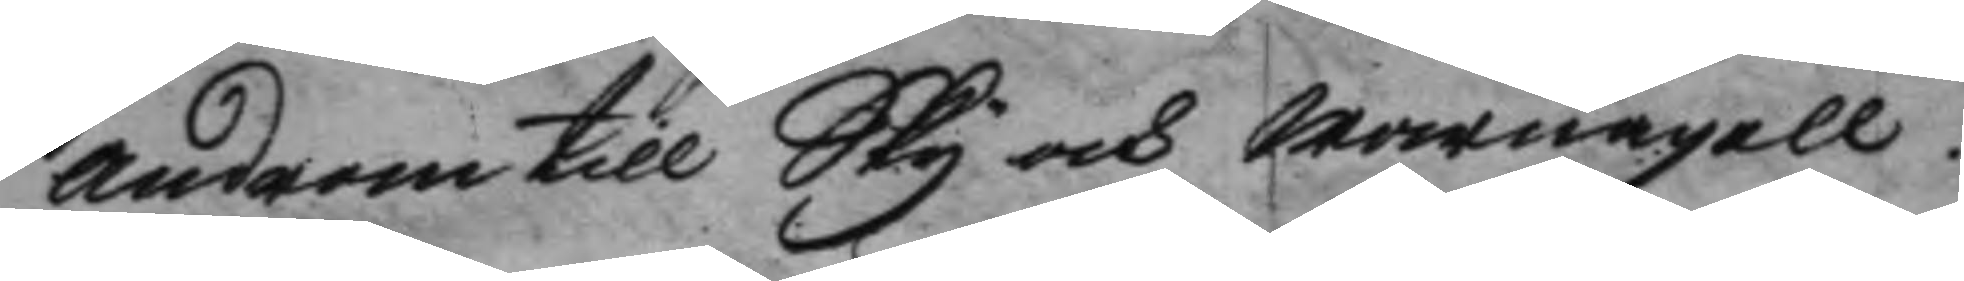androm till Sky och warnagell.
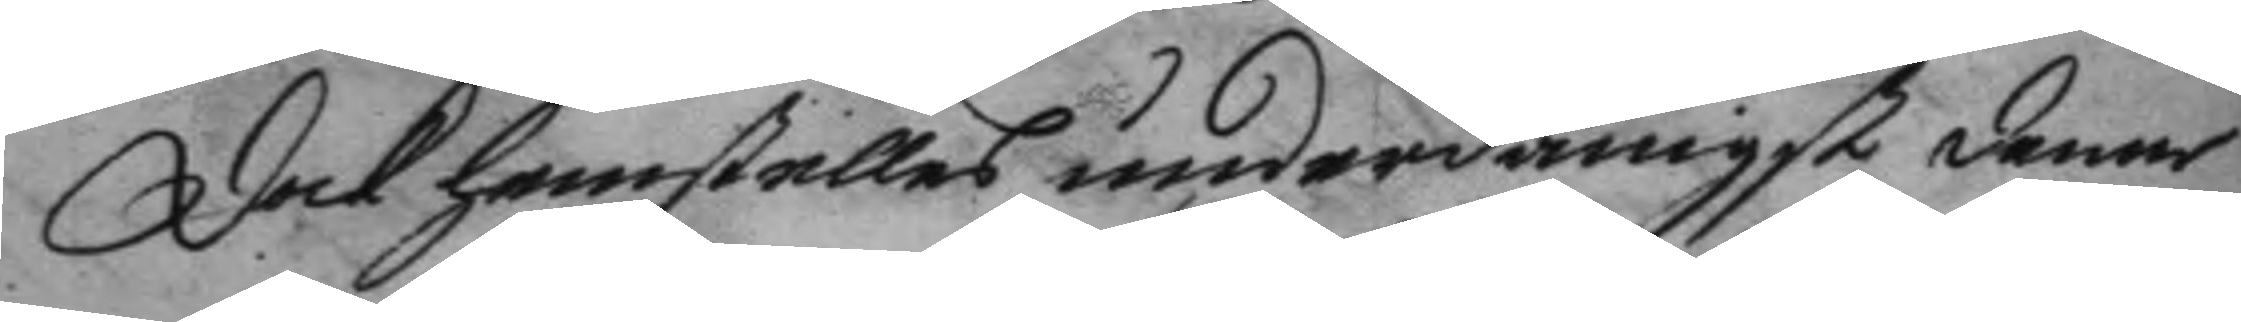dock hemstelles underdånigst denne
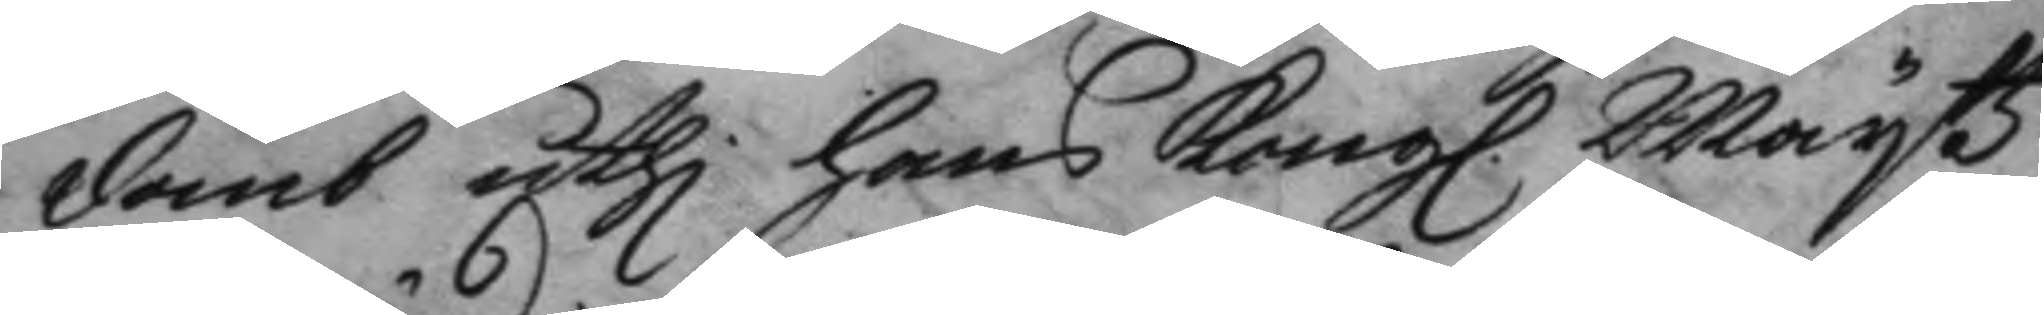domb uthi hans Kongl. Mayttz
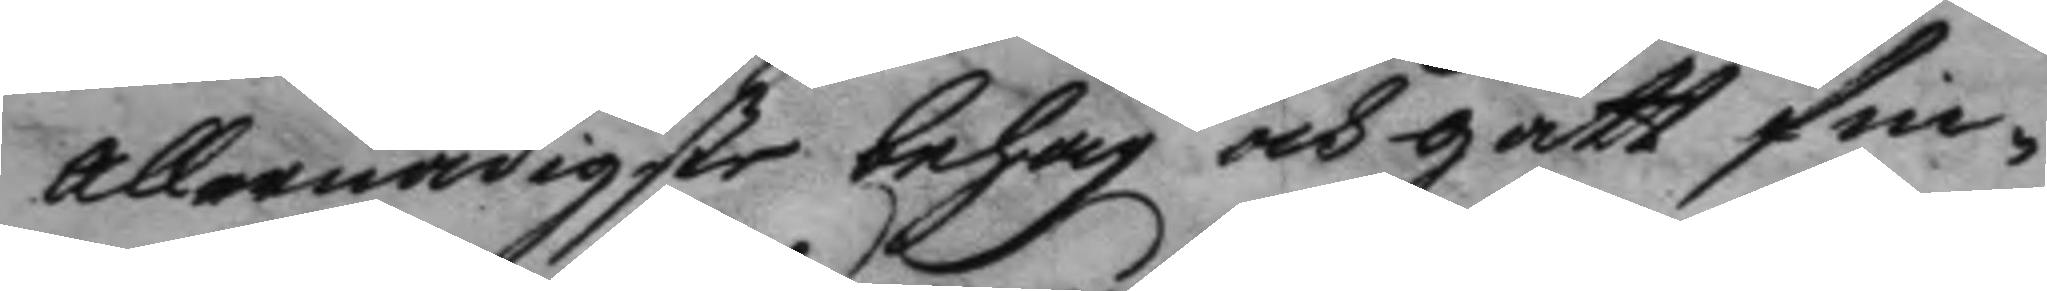allernådigste behag och gått fin¬
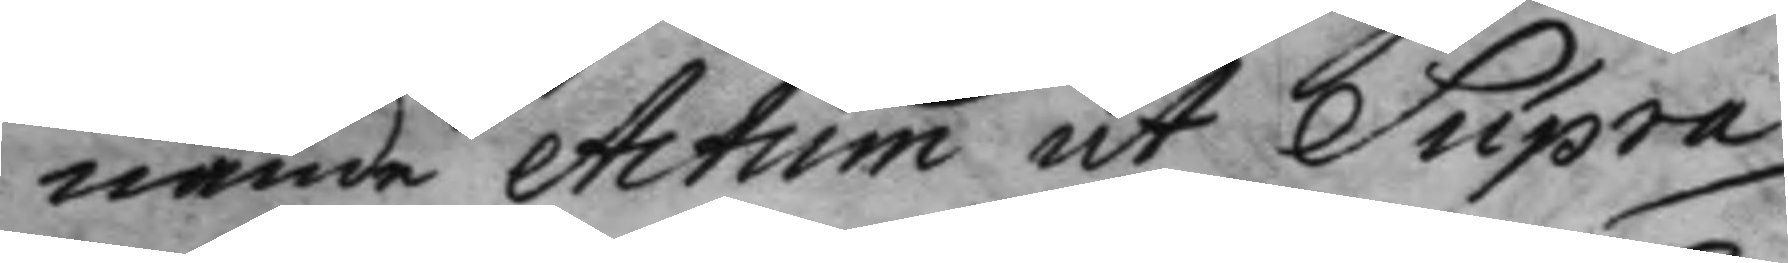nande Actum ut Supra
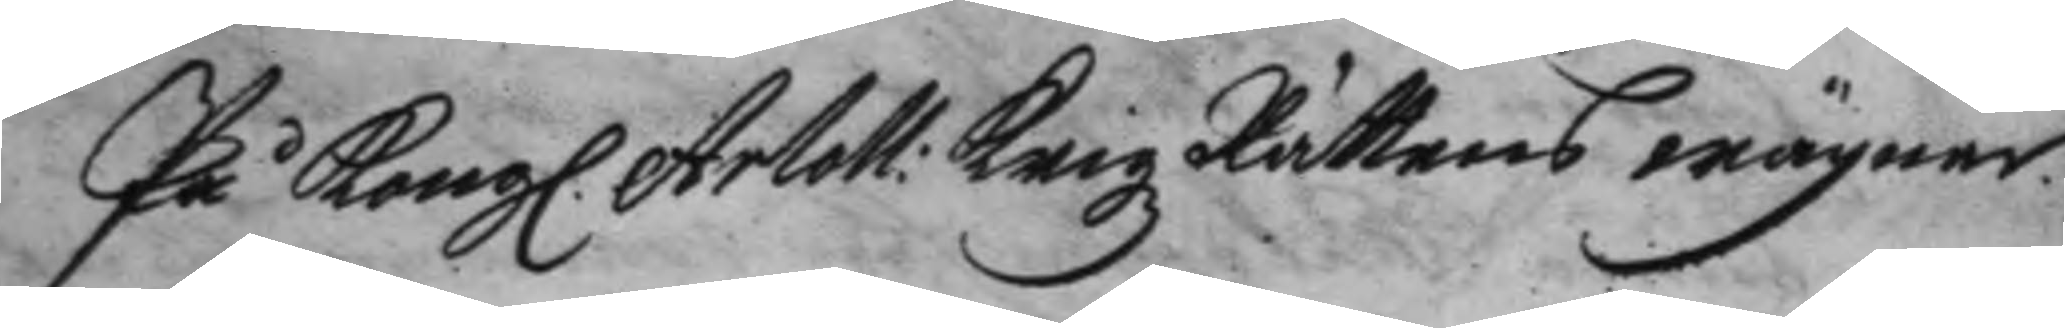På Kong. Artoll: Krigz Rättens wägnar
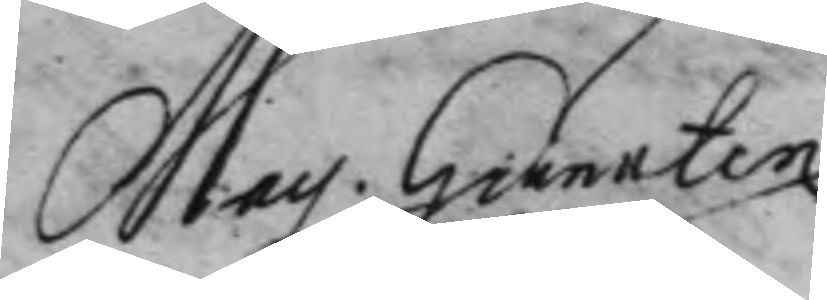Mag: Hieerten
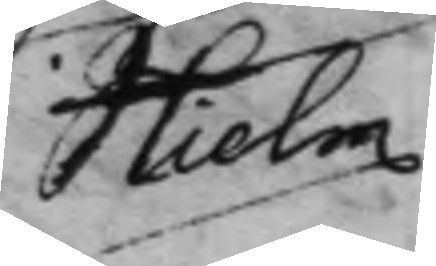Hielm
